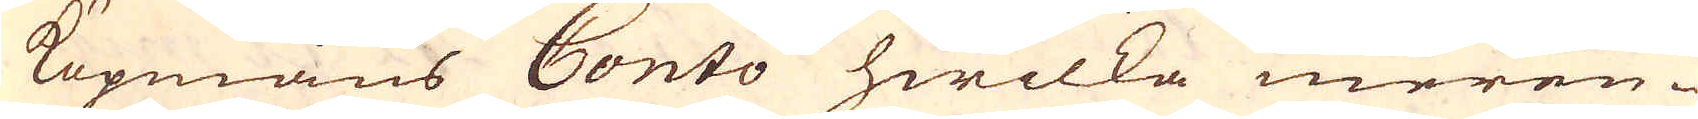Köpmans Conto hwilka meren-
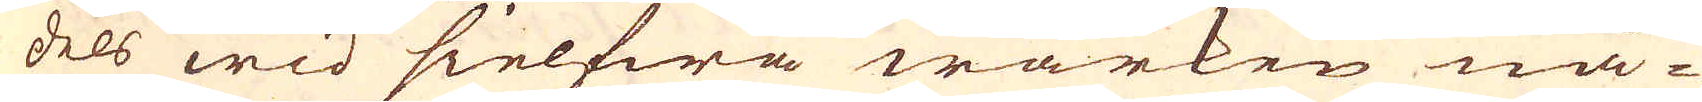dels wid sielfwa wärken nå-
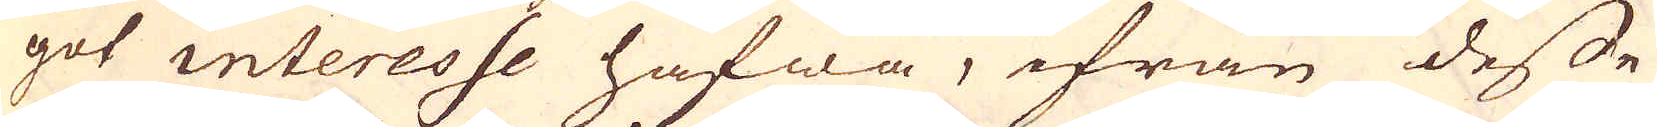got interesse hafwa, ifrån desse
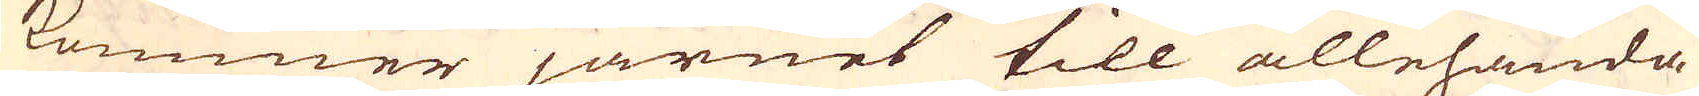kommer järnet till allehanda
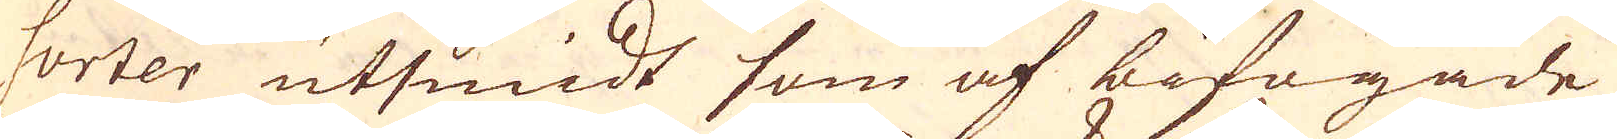sorter utsmidt som af bifogade
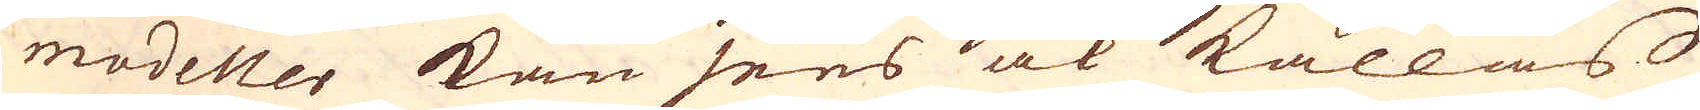modeller kan sees ock kallas
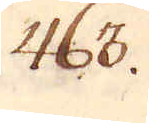463.
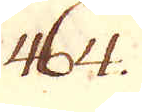464.
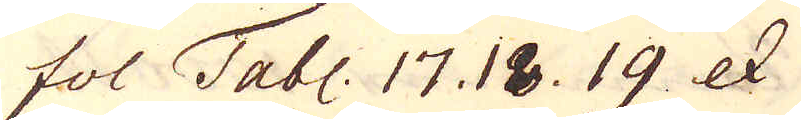fol Tabl: 17. 18. 19 etc
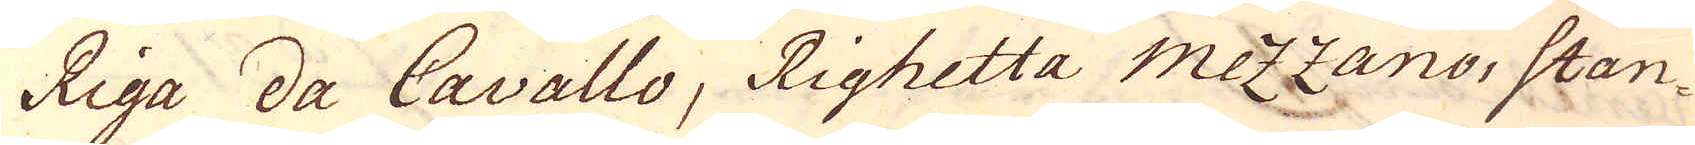Riga da Cavallo, Righetta mezzano, stan-
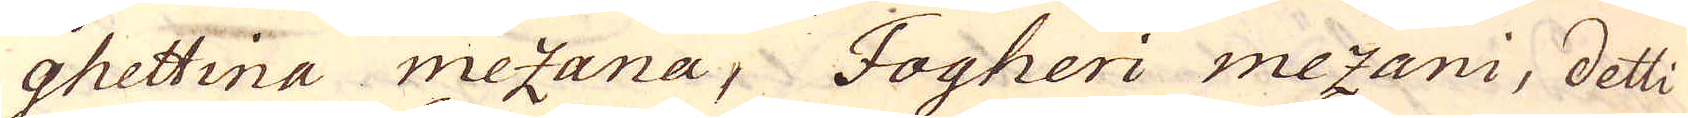ghettina mezana, Jogheri mezani, detti
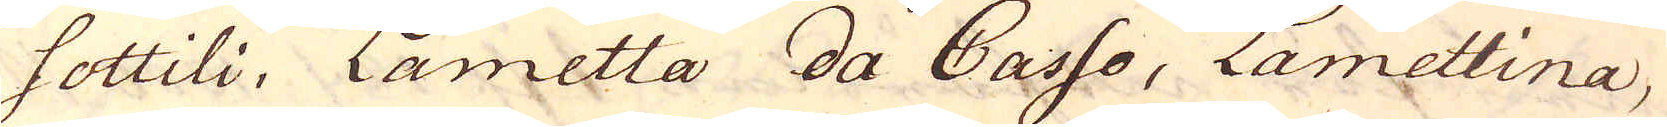sottili, Lametta da Casso, Lametlina.
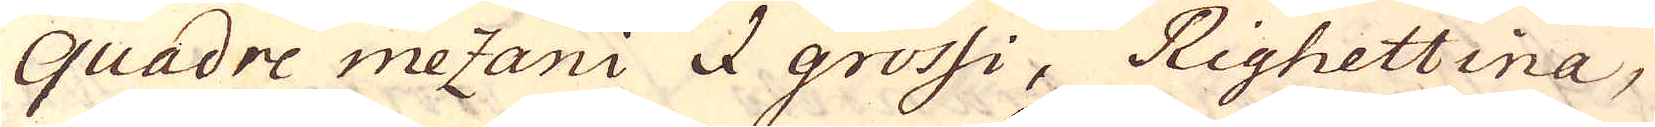quadre mezani I grossi, Righettina,
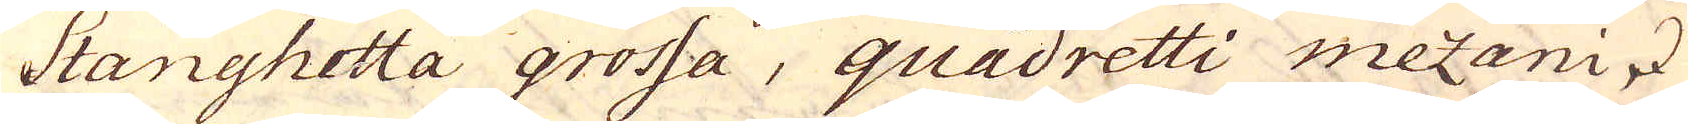Stanghetta grossa, quadretti mezani &
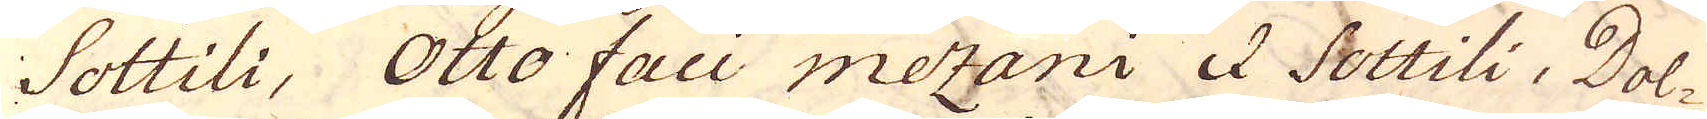Sottili, Otto faci mezani & Sottili, Dol-
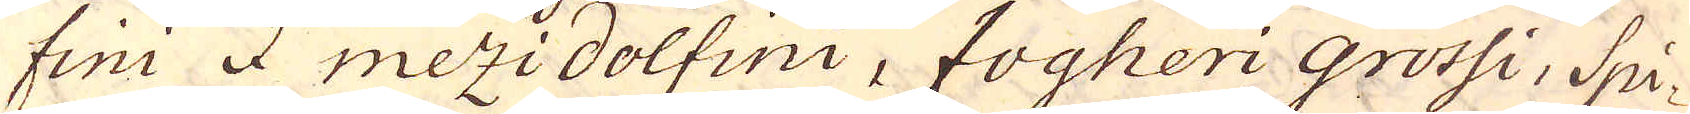fini I mezidolfini, fogheri Grossi, Spi-
